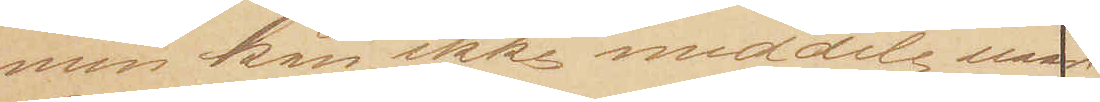men kan ikke meddele naar.
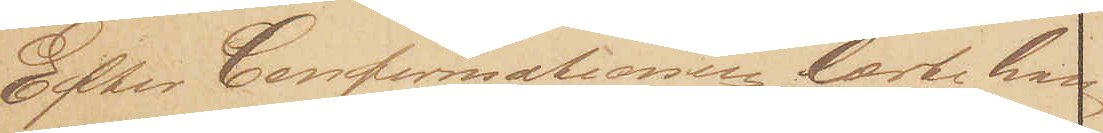Efter Confirmationen lærte han
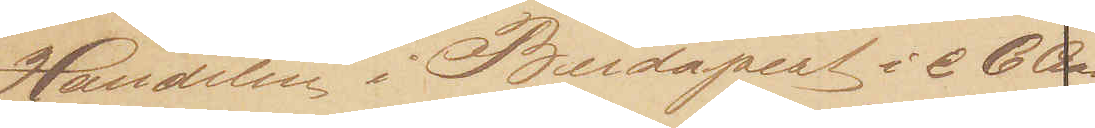Handelen i Budapest i c 6 Aar
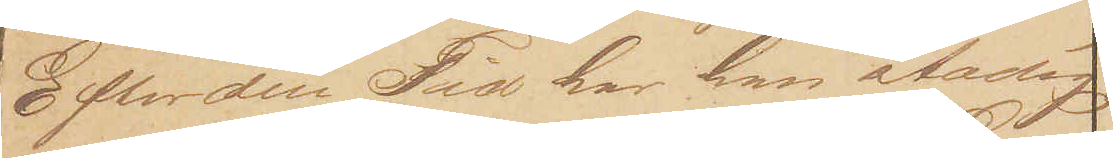Efter den Tid har han stadig
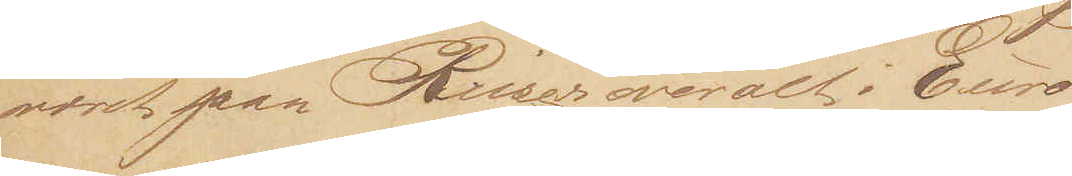været paa Reiser overalt i Euro¬
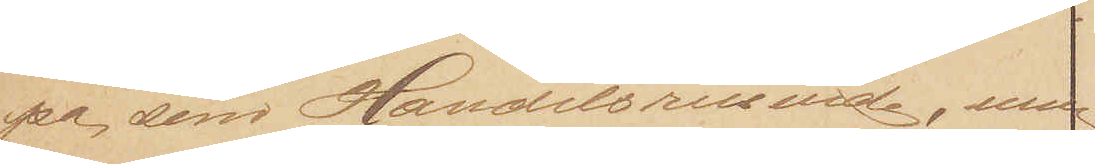pa, som Handelsreisende, men 
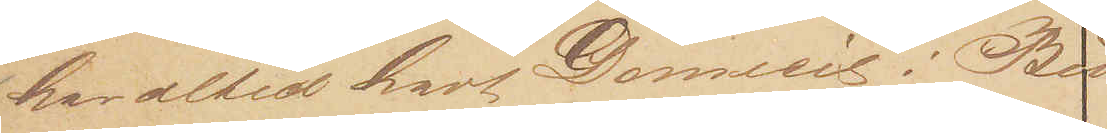har altid haft Domicil i Bu¬
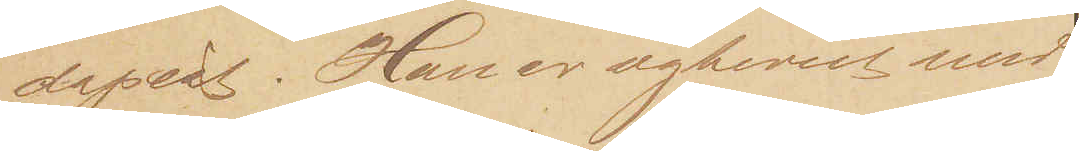dapest. Han er ægteviet med
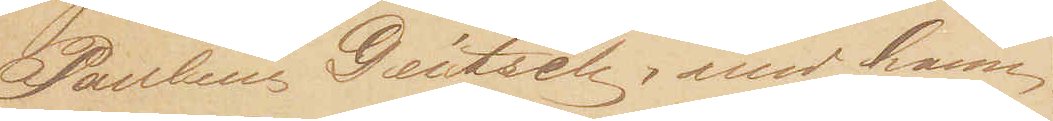Pauline Deutsch, med hvem
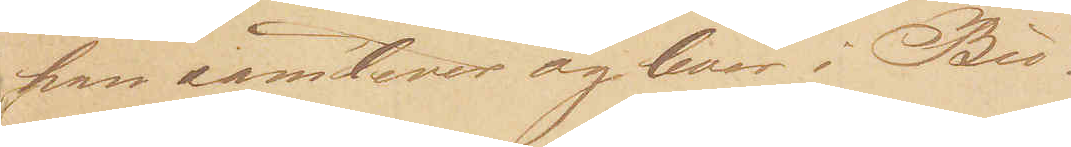han samlever og lever i Bu¬
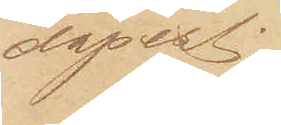dapest.
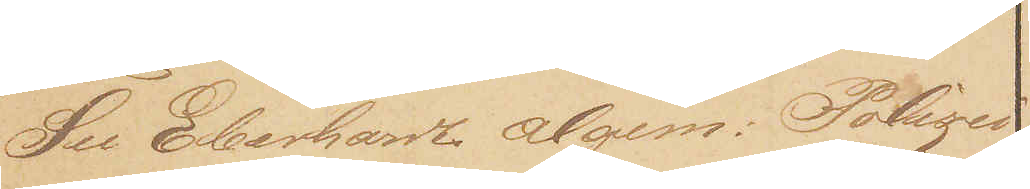See Eberhardt algem. Polizei¬
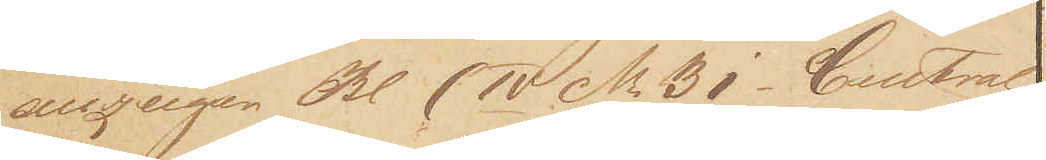anzeiger Bl (IV Nr. 31 - Central
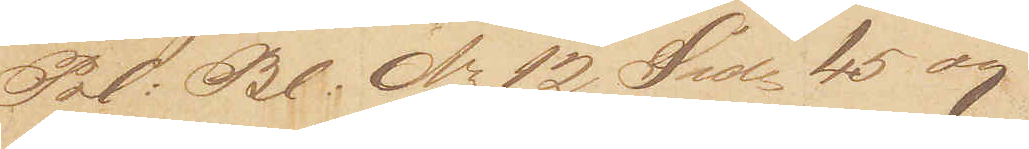Pol: Bl. Nr. 12 Side 45 og
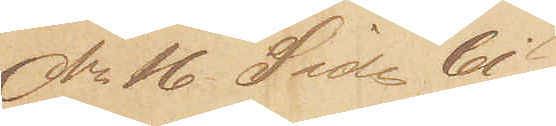Nr. 16 Side 61)
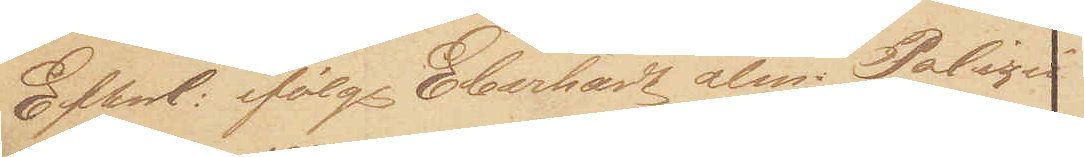Efterl: ifølge Eberhardt alm. Polizei¬
